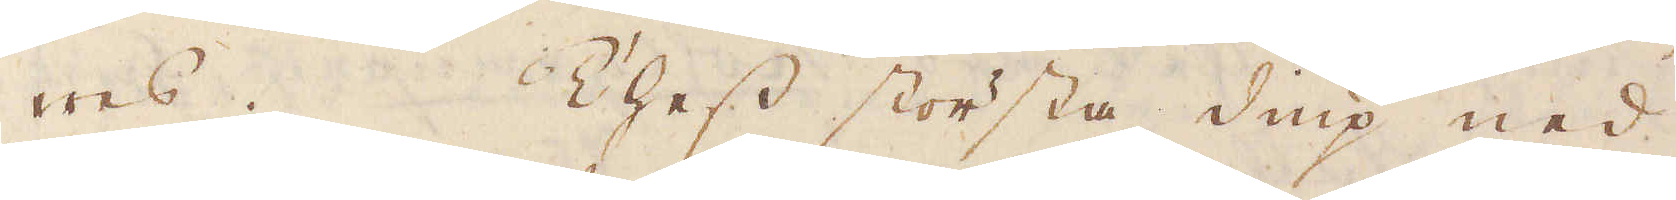wes. Thess största diup ned
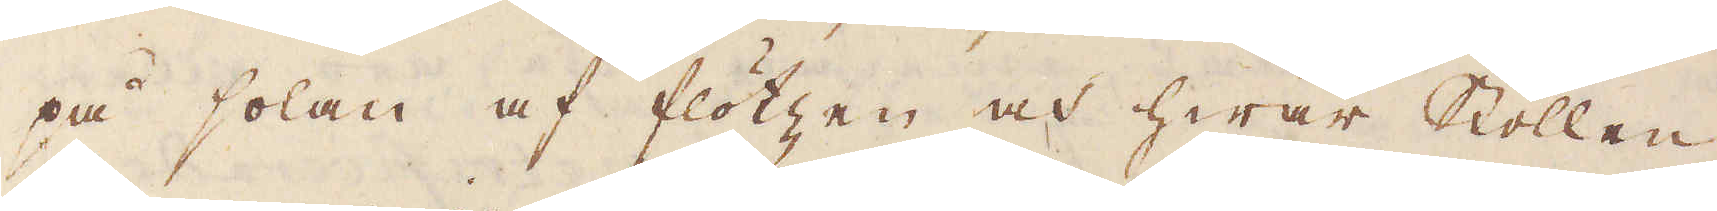på solan af flötzen och hwar Stollen
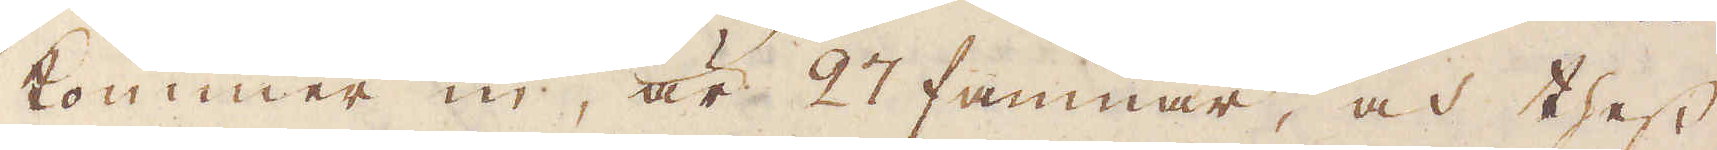kommer in, är 27 famnar, och thess
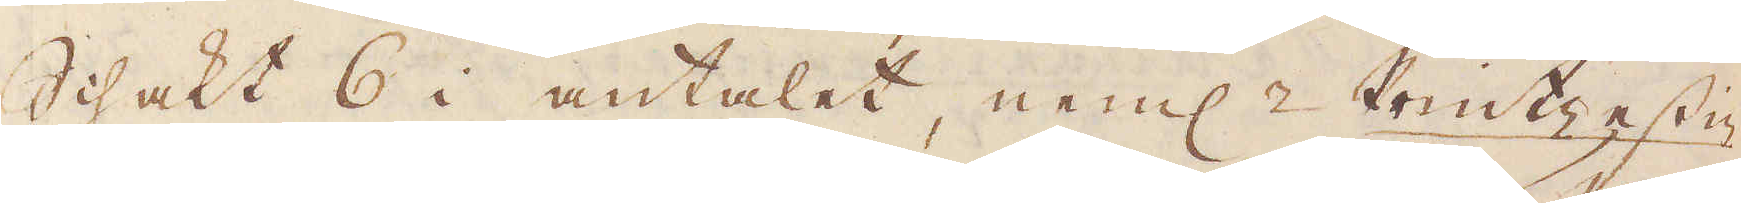Schakt 6 i antalet, neml: Printzessia
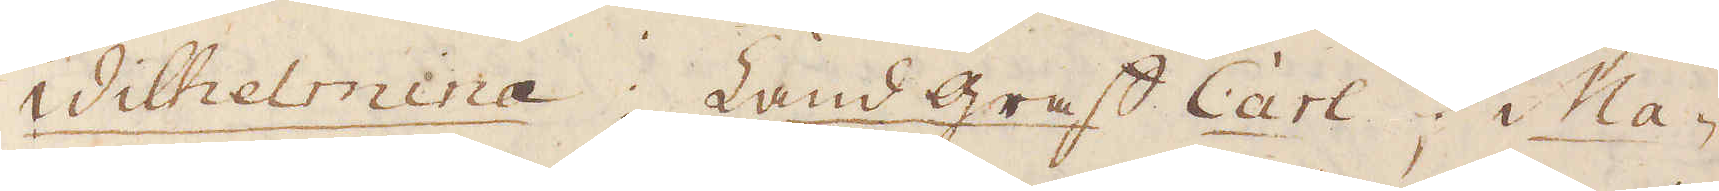Wilhelmina; Landgref Carl; Ma-
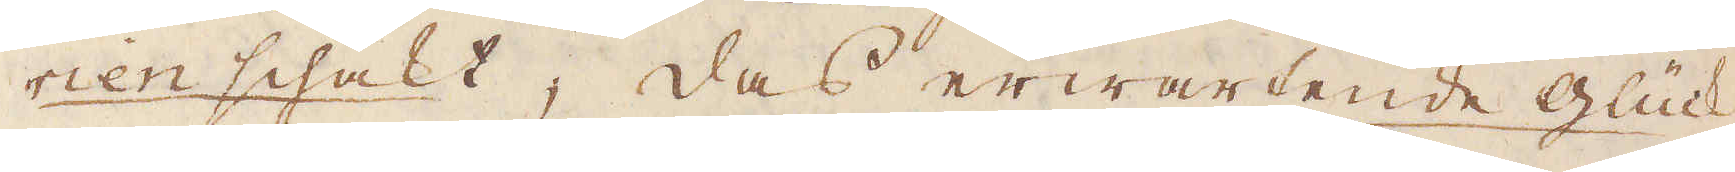rien schakt; das erwartende Glück;
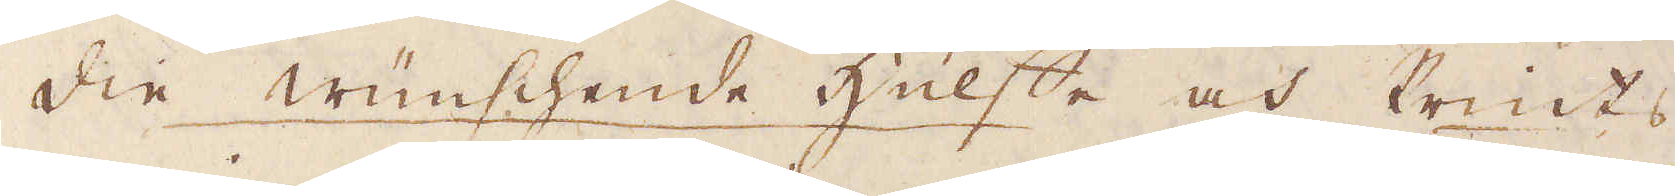die wunschende hüuffte och Prints
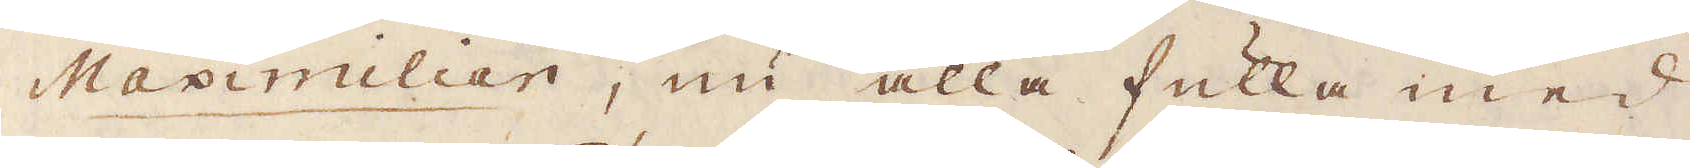Maximilian, nu alla fulla med
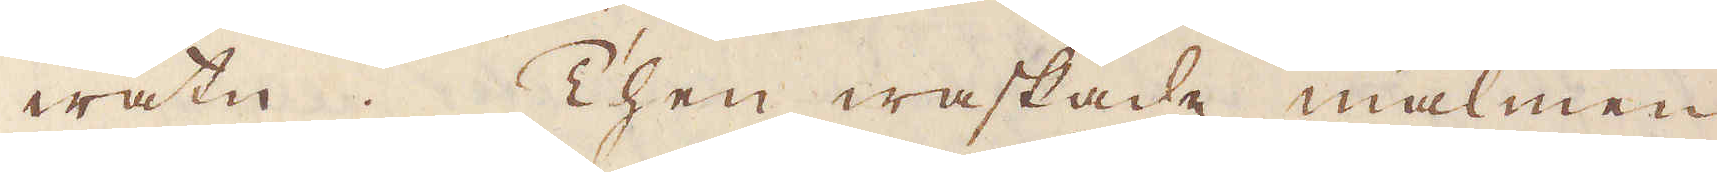watn. Then waskade malmen
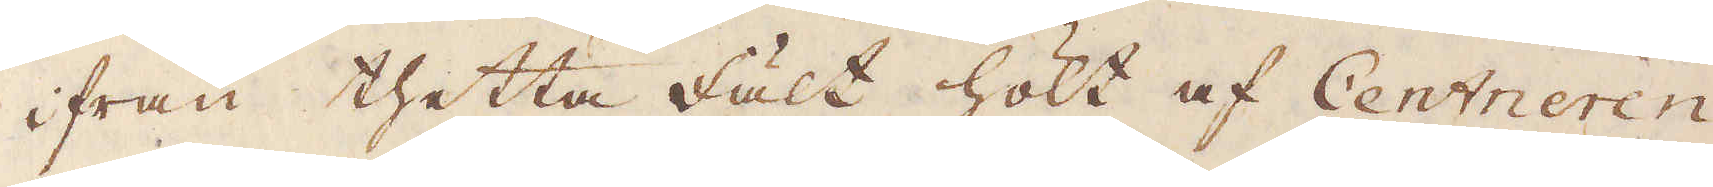ifrån thetta fält hölt af Centneren
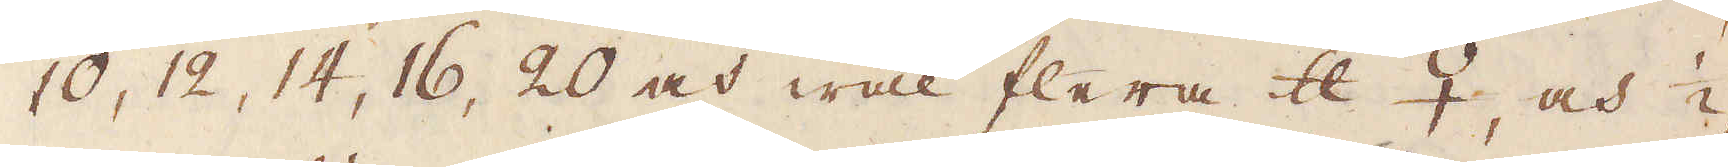10, 12, 14, 16, 20 och wäl flera skålpund ♀, och 1/2
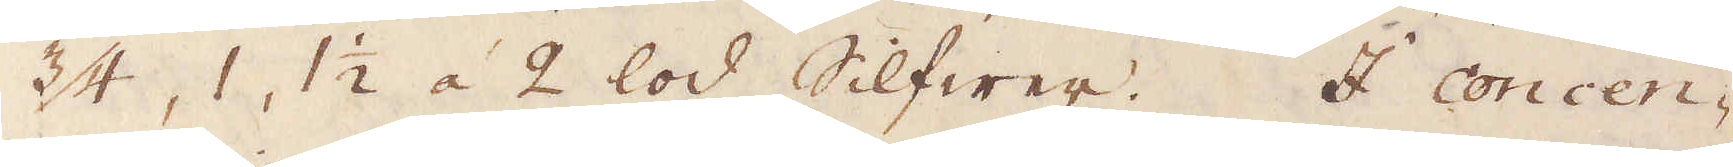3/4, 1, 1 1/2 á 2 lod Silfwer. I concen-
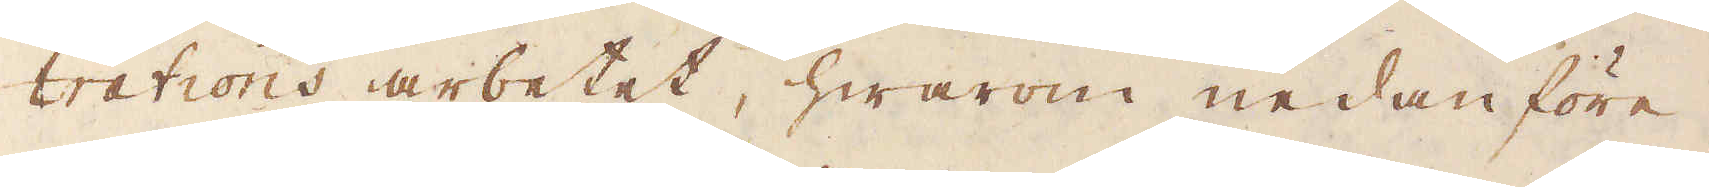trations arbetet, hwarom nedanföre
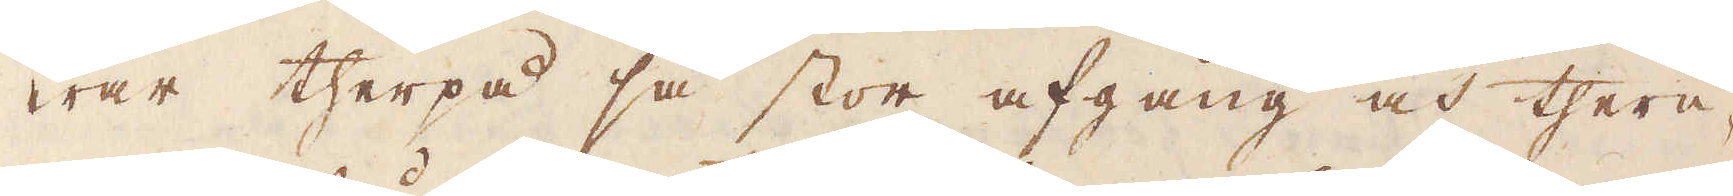war therpå så stor afgång och there-
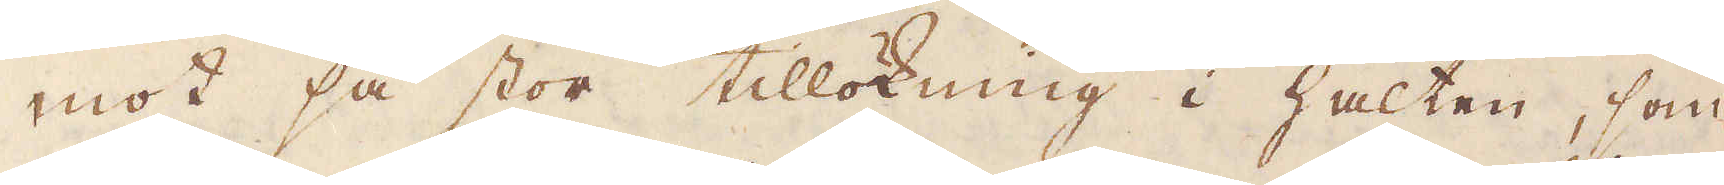mot så stor tillökning i halten, som
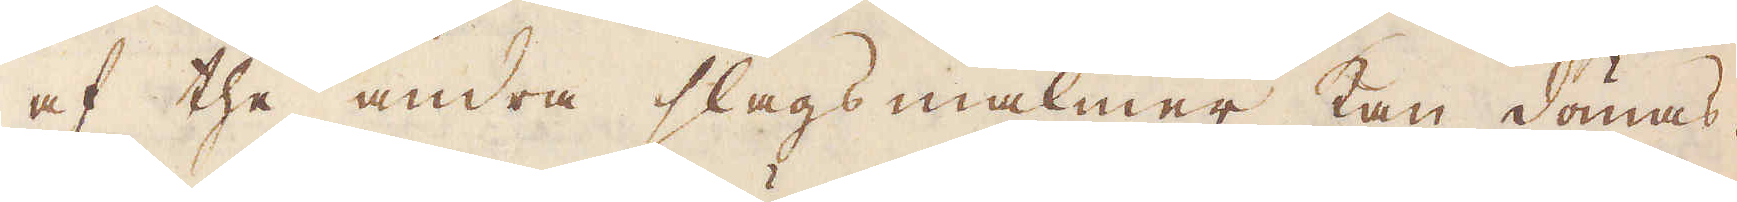af the andra slags malmer kan dömas.
